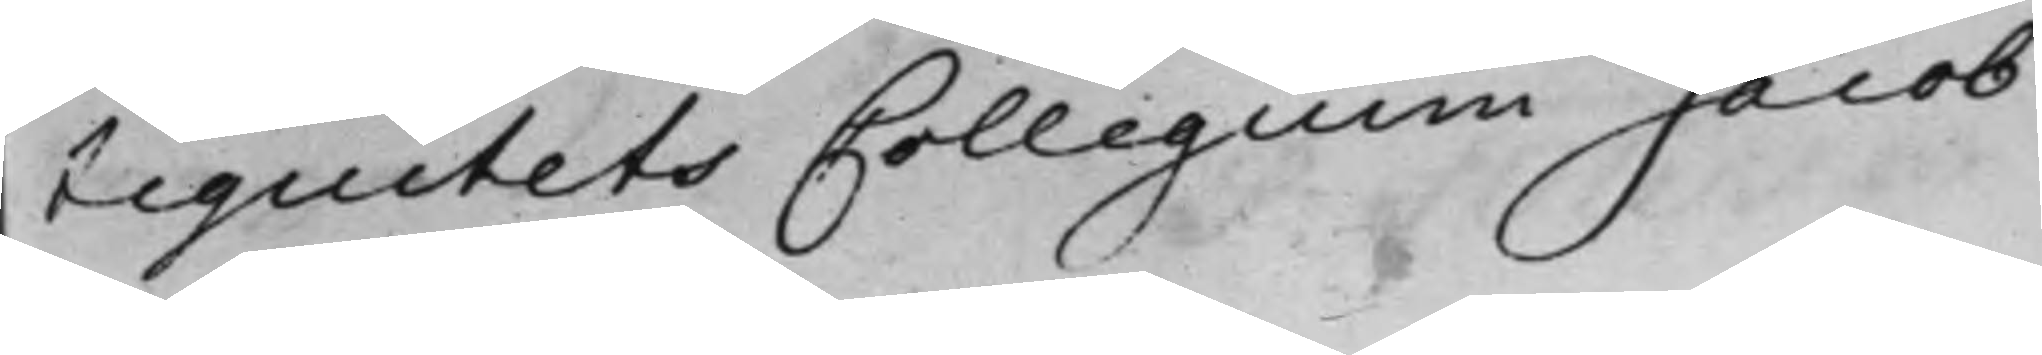tiquitetsCollegium Jacob
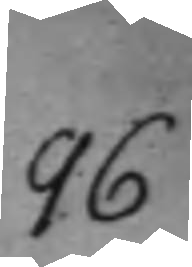96
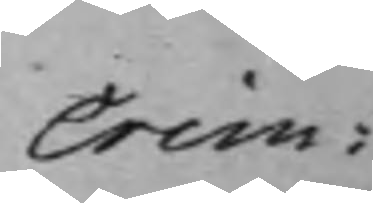Crim:
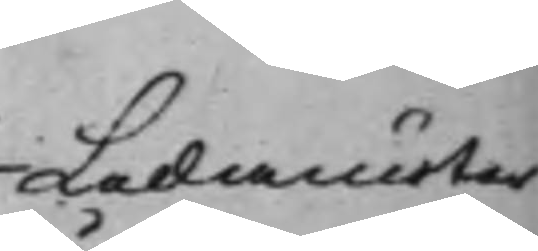Ledamöter
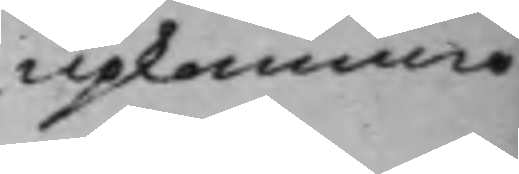upkommo
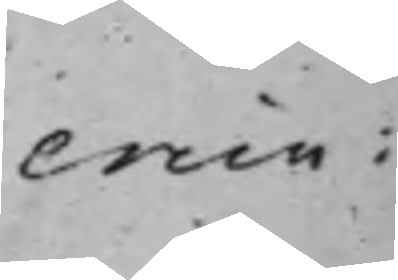crim:
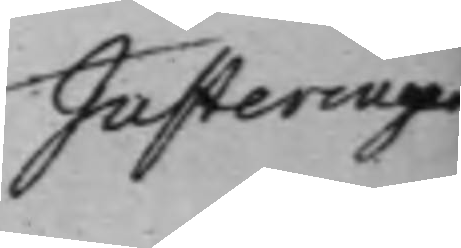Justeringar
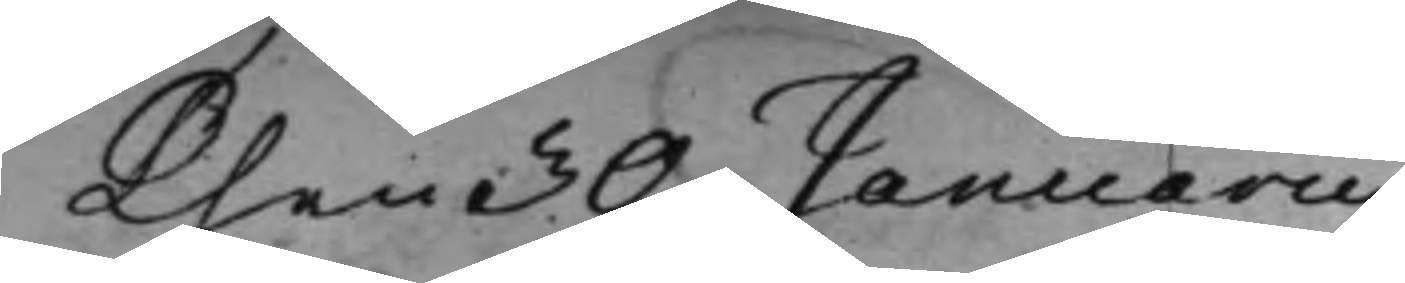Then 30 Januarii
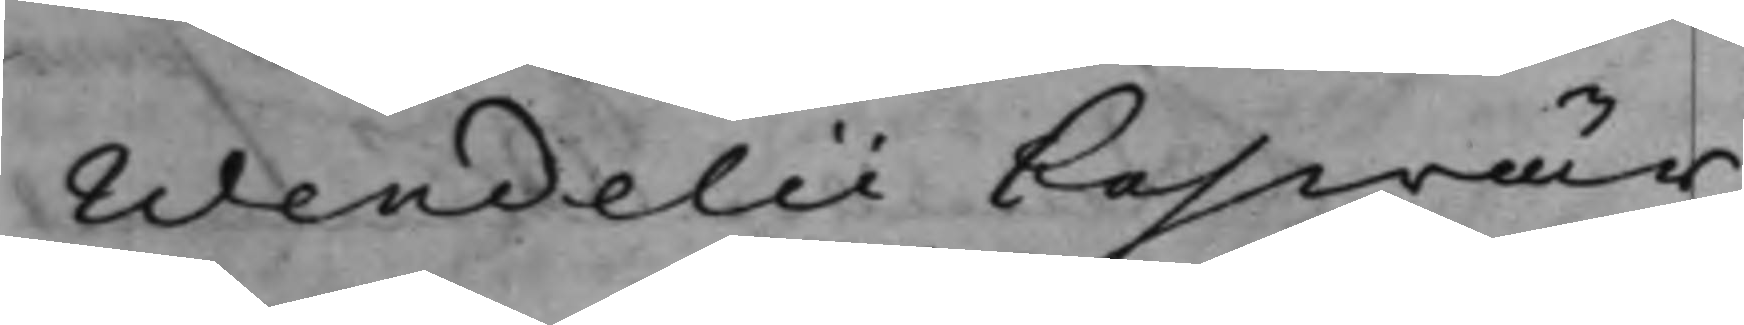Wendelii beswär
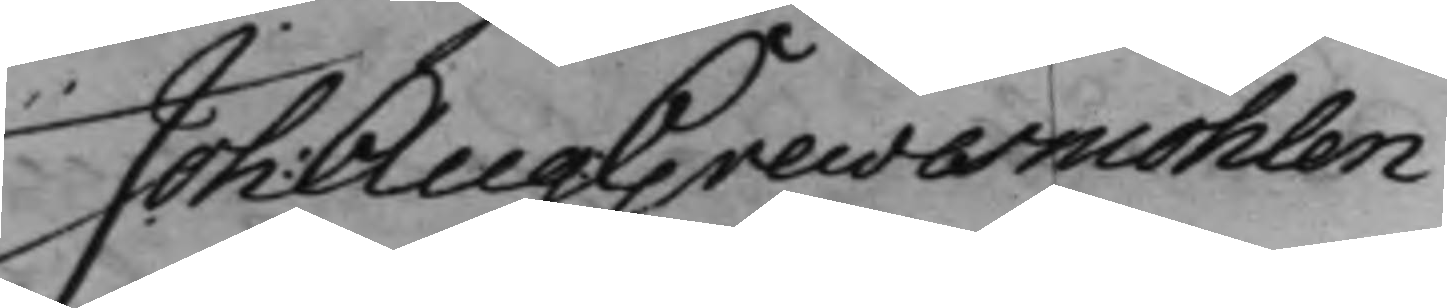Joh: Aug: Grewesmöhlen
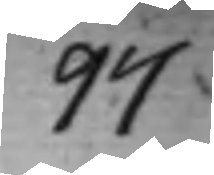97
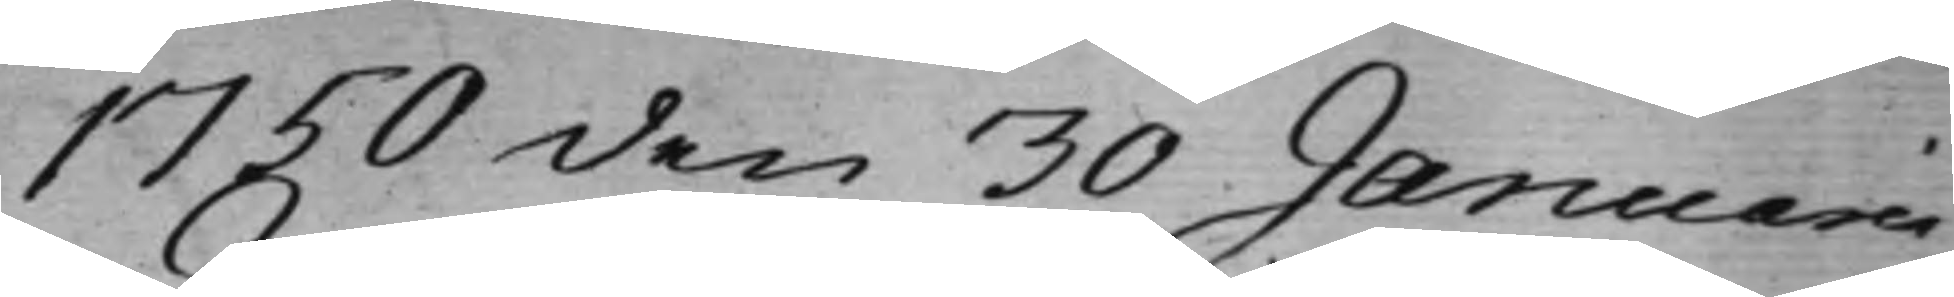1750 den 30 Januarii
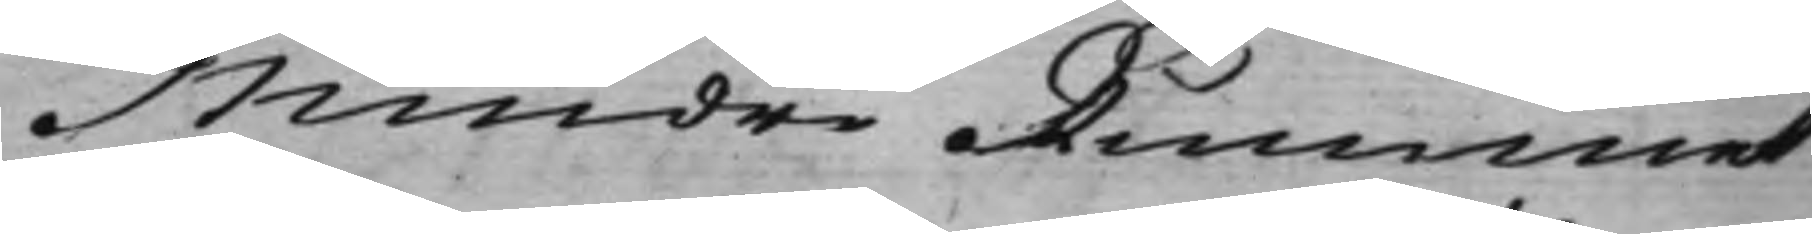Mindre Rummet
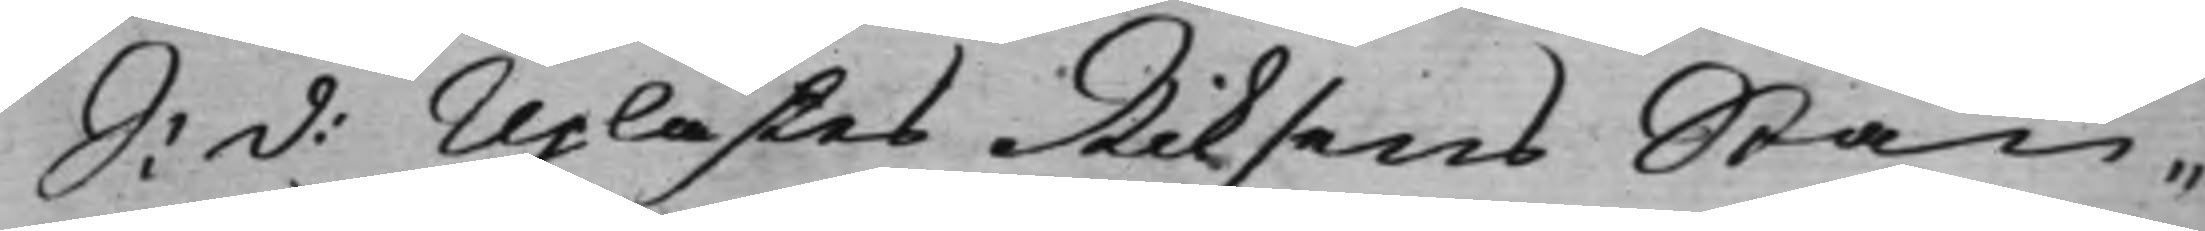S: d: Uplästes Riksens Stän¬
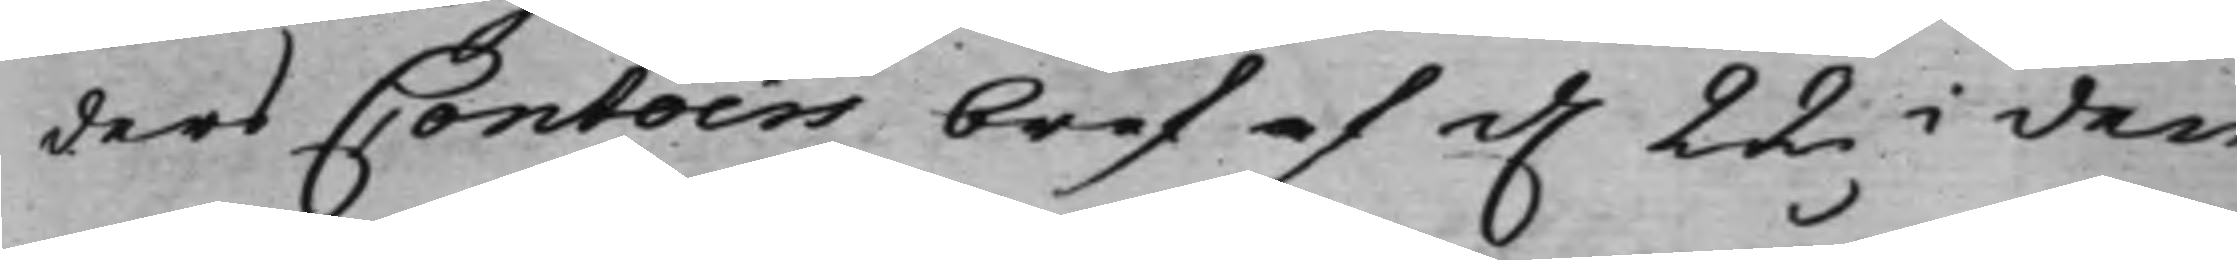ders Contoirs bref af d. 22 i den¬
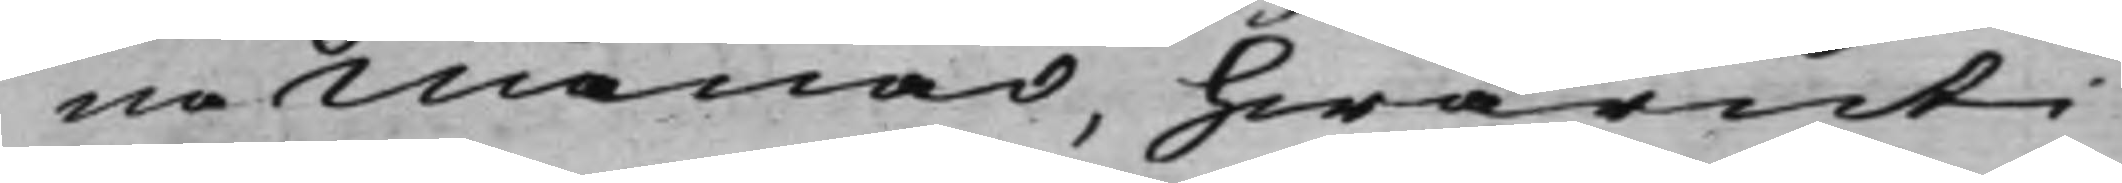na månad, hwaruti
